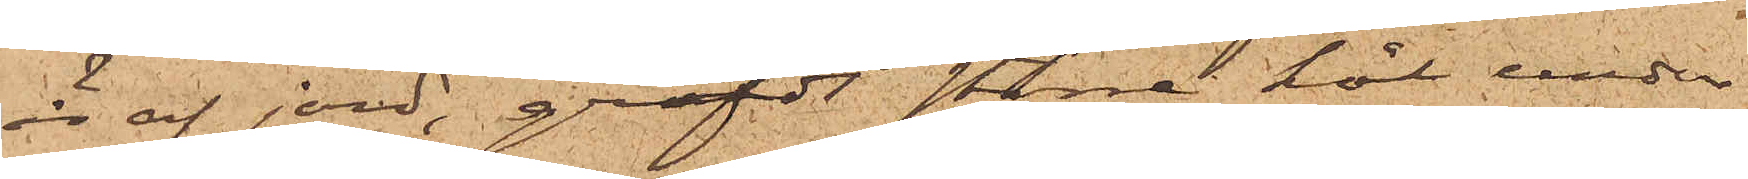är af jord, gräfdt större hål under
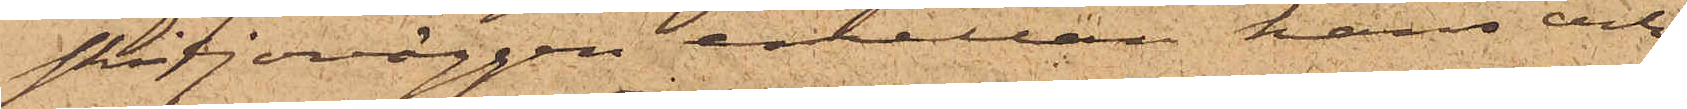skiljeväggen emellan hans och
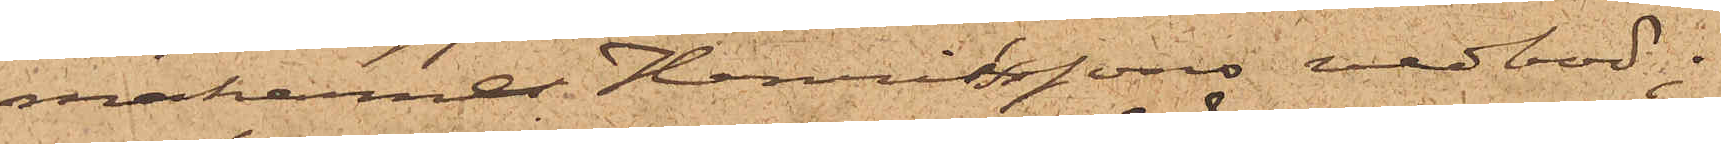makarne Henrikssons vedbod;
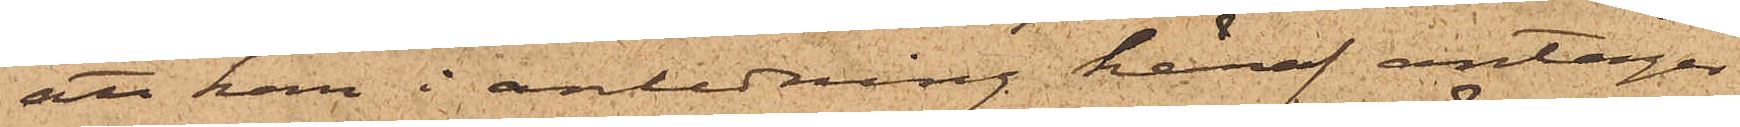att han i anledning häraf antager
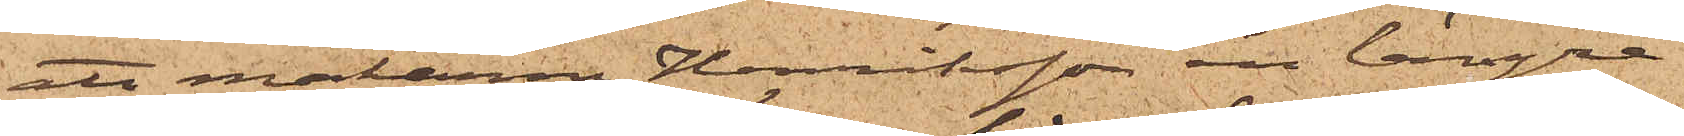att makarne Henriksson en längre
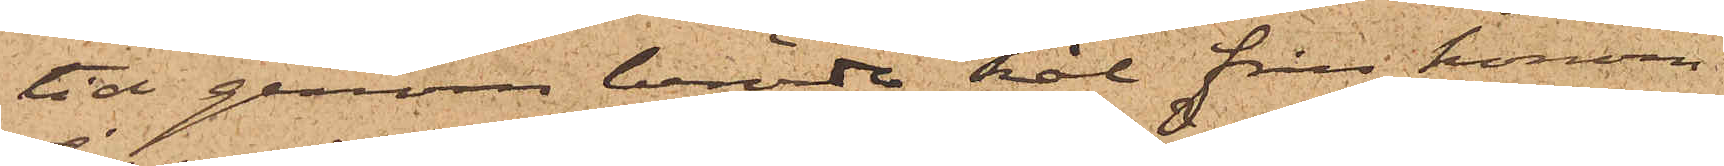tid genom berörde hål från honom
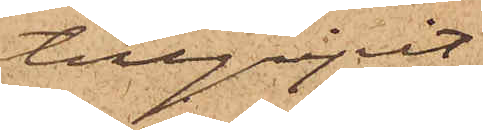tillgripit
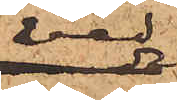ved
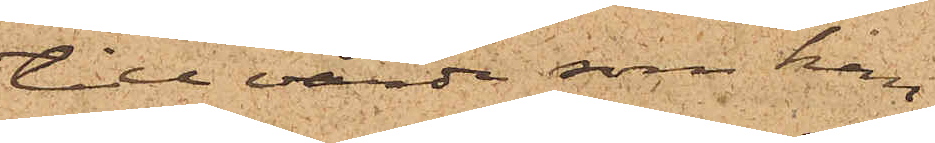till värde som han
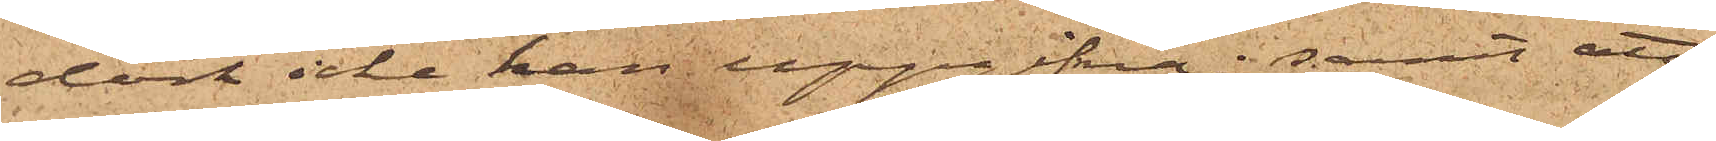dock icke kan uppgifva; samt att
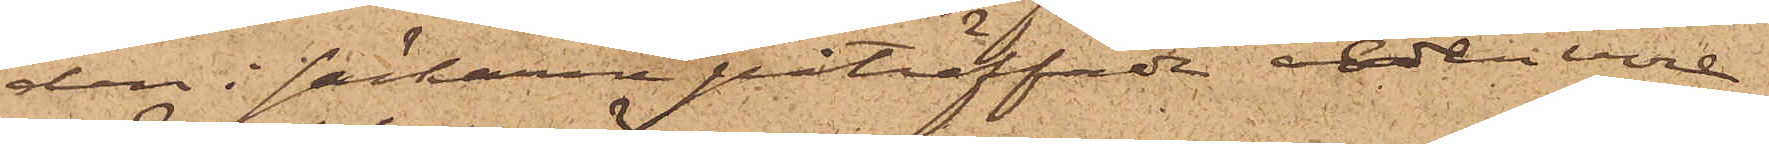den i säckarna påträffade veden vore
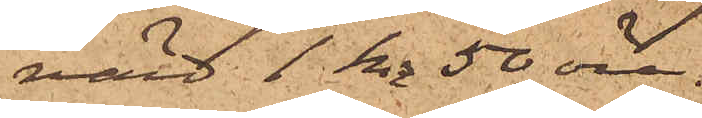värd 1 kr 50 öre.
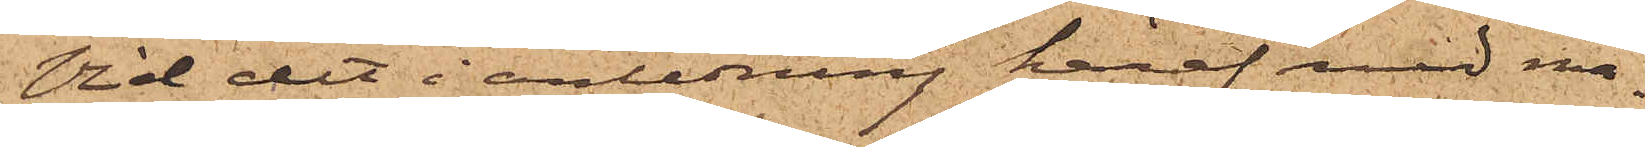Vid det i anledning häraf med ma¬
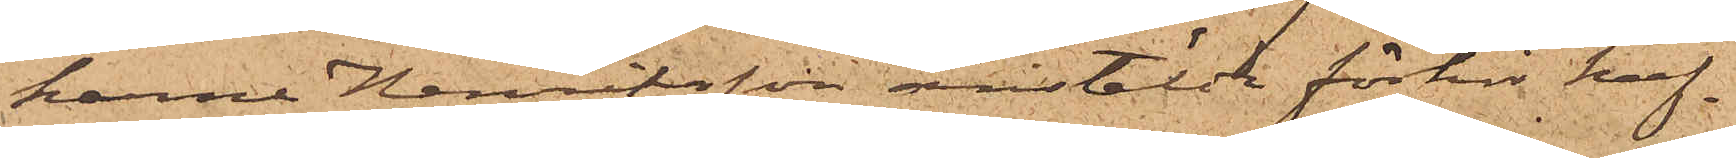karne Henriksson anstälda förhör haf¬
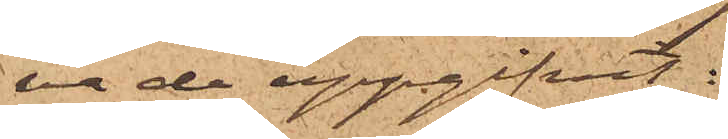va de uppgifvit:
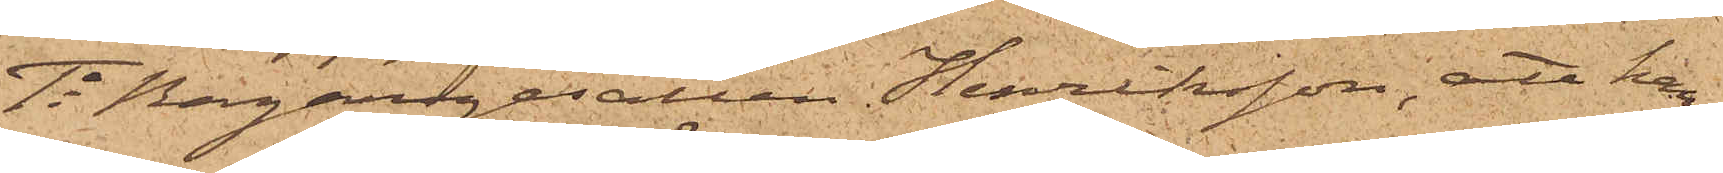1o Bagaregesällen Henriksson, att han,
